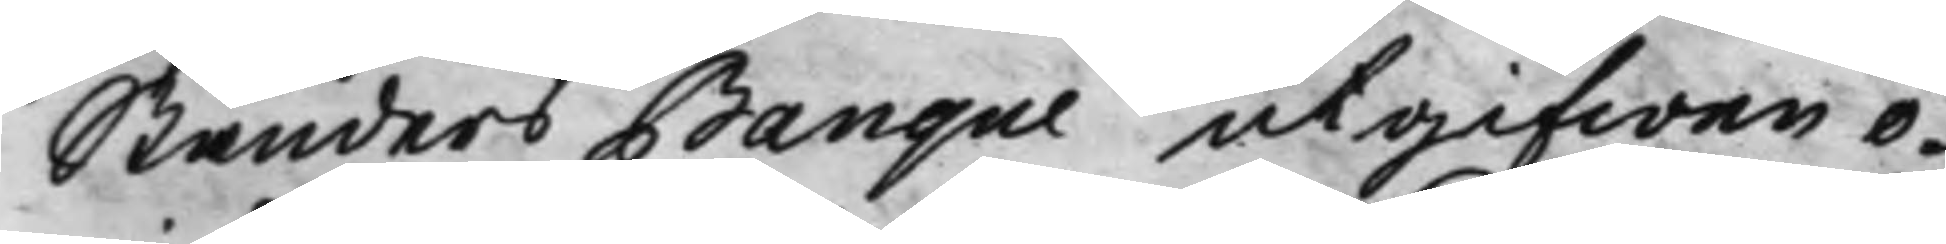Ständers Banque utgifwen o¬
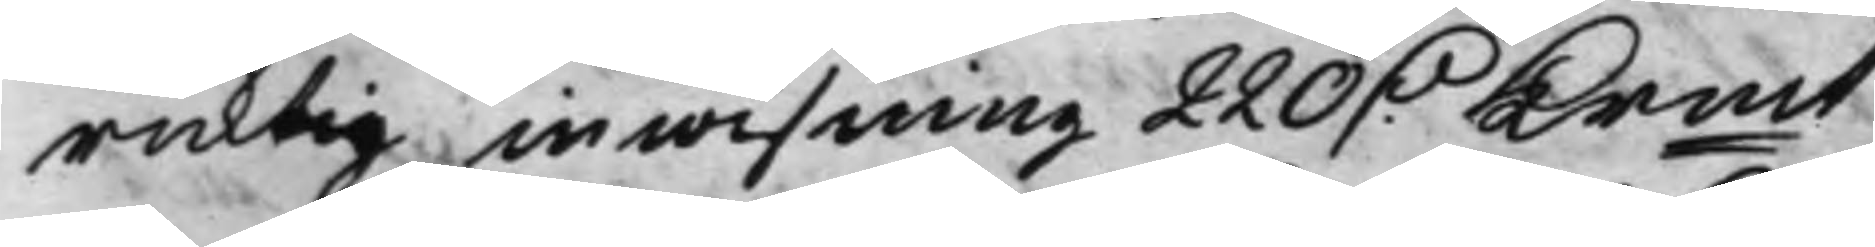ricktig inwisning 220 D. Krmt, 
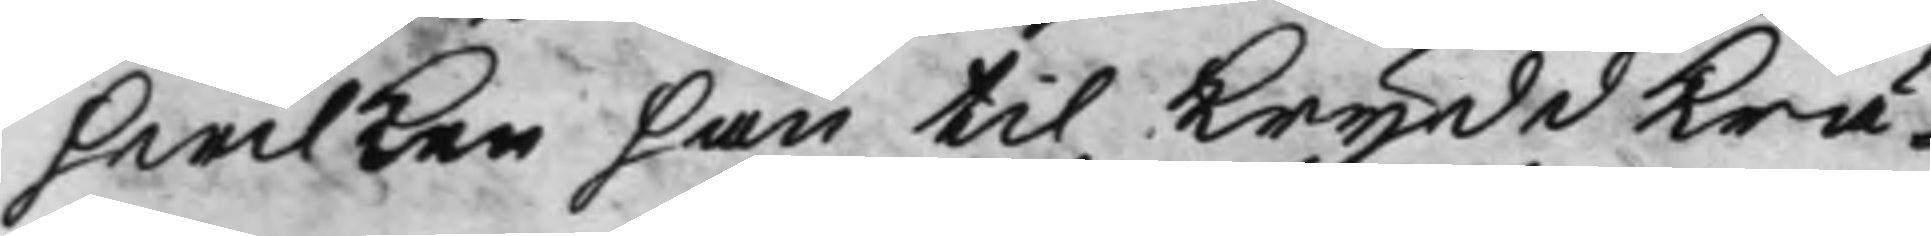hwilken han til KryddKrä¬
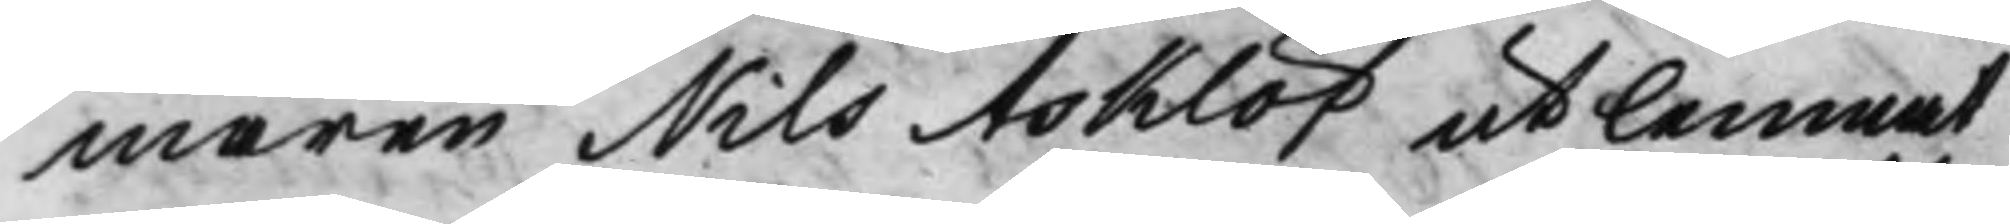maren Nils Asklöf utlemnat
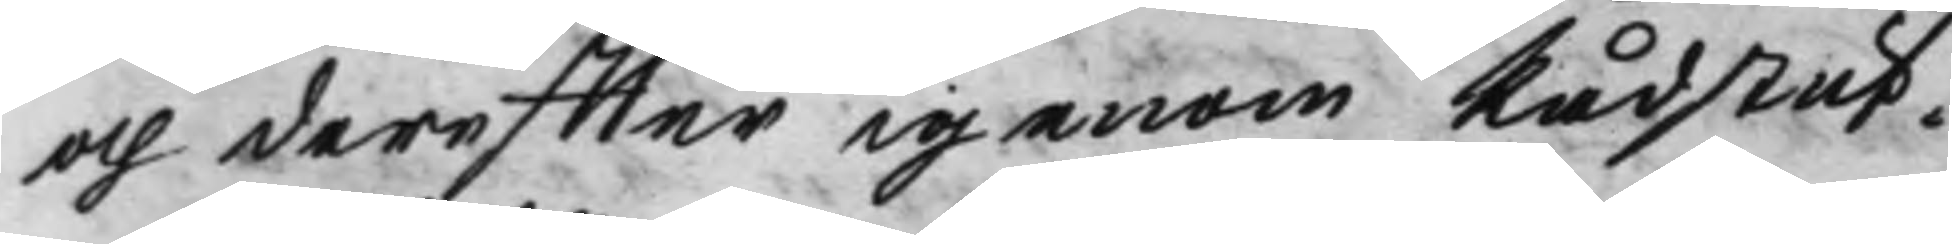och dereffter igenom Rådstuf¬
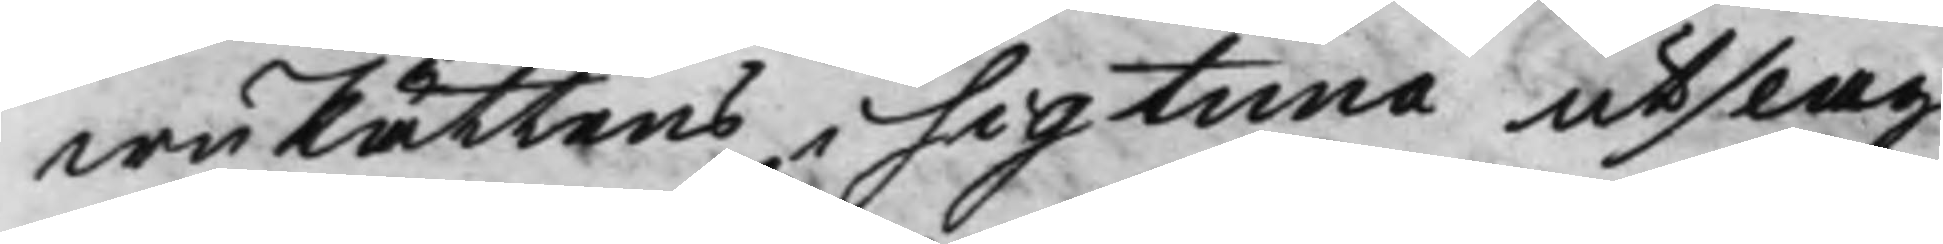wuRättens i Sigtuna utslag
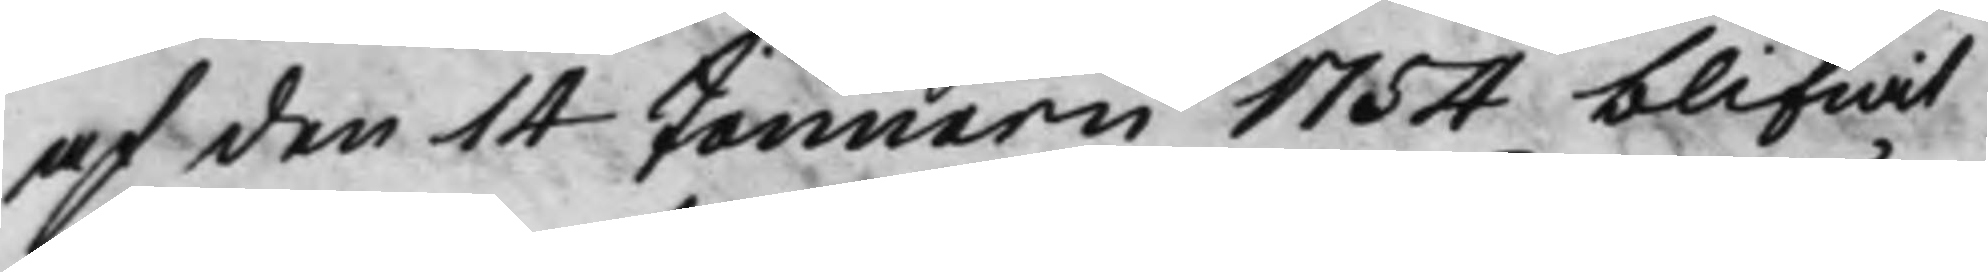af den 14 Januarii 1754 blifwit
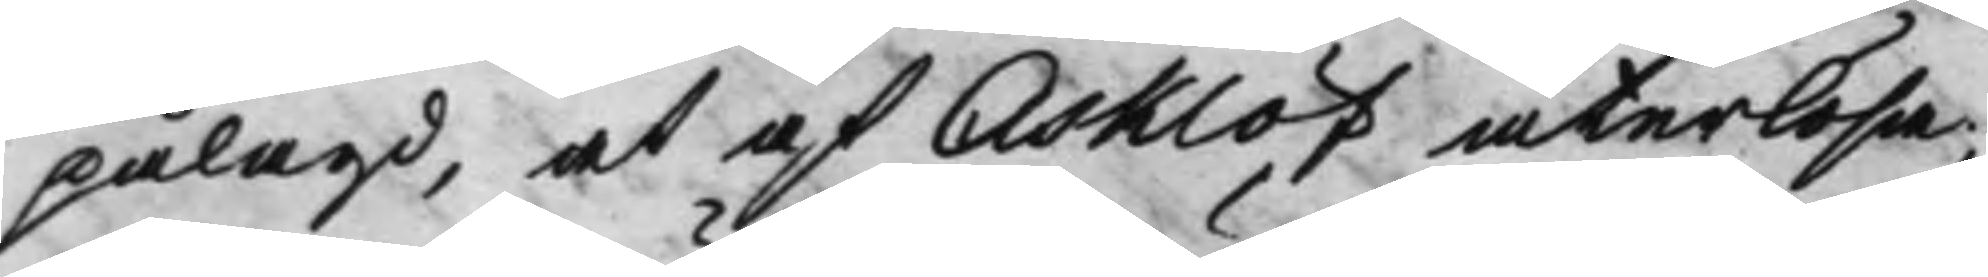pålagd, at af Asklöf återlösa,
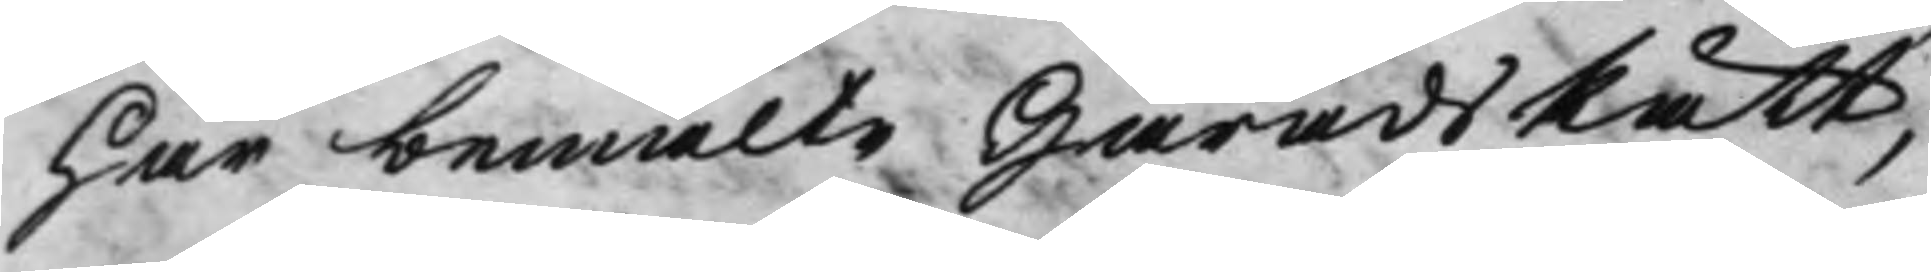har bemälte HäradsRätt,
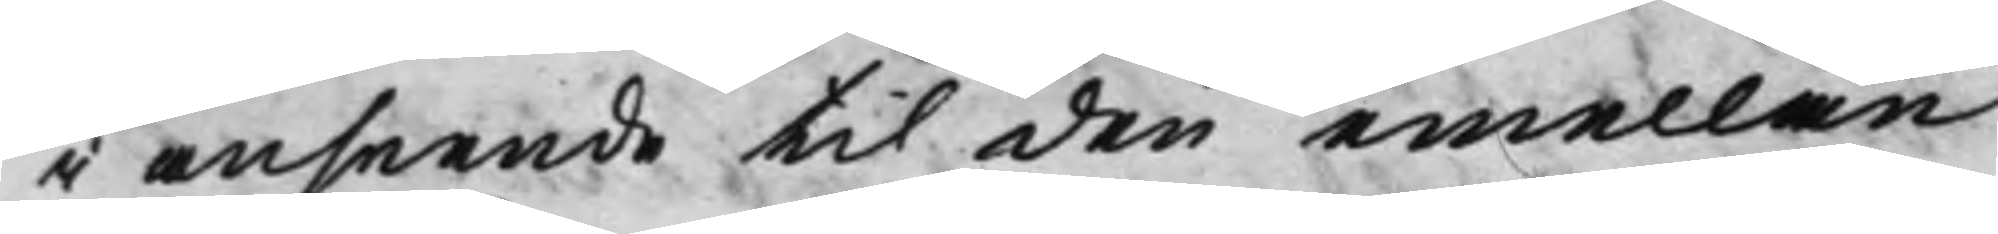i anseende til den emellan
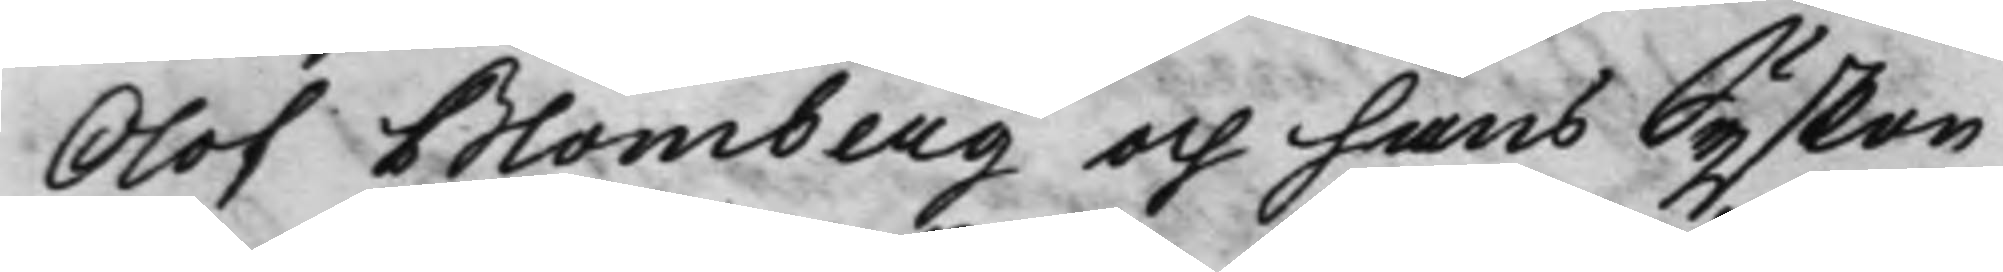Olof Blomberg och hans Syskon
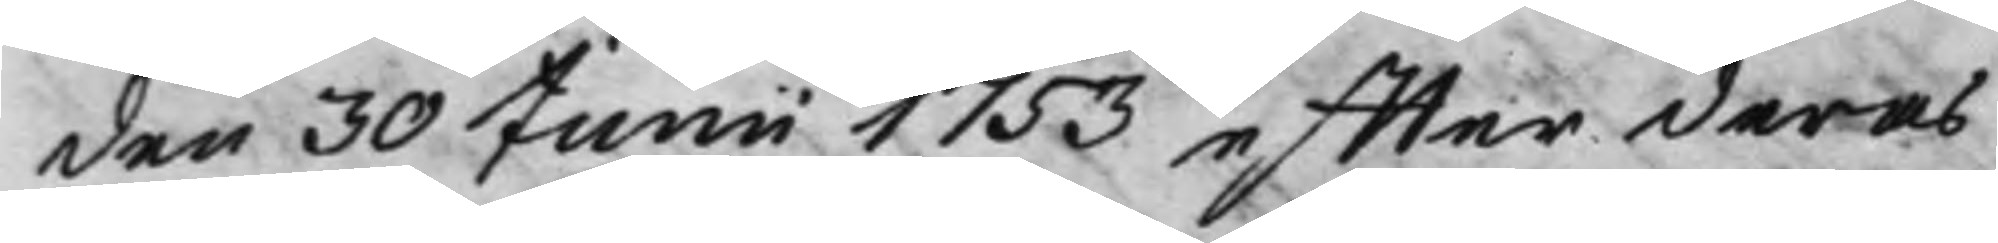den 30 Junii 1753 effter deras
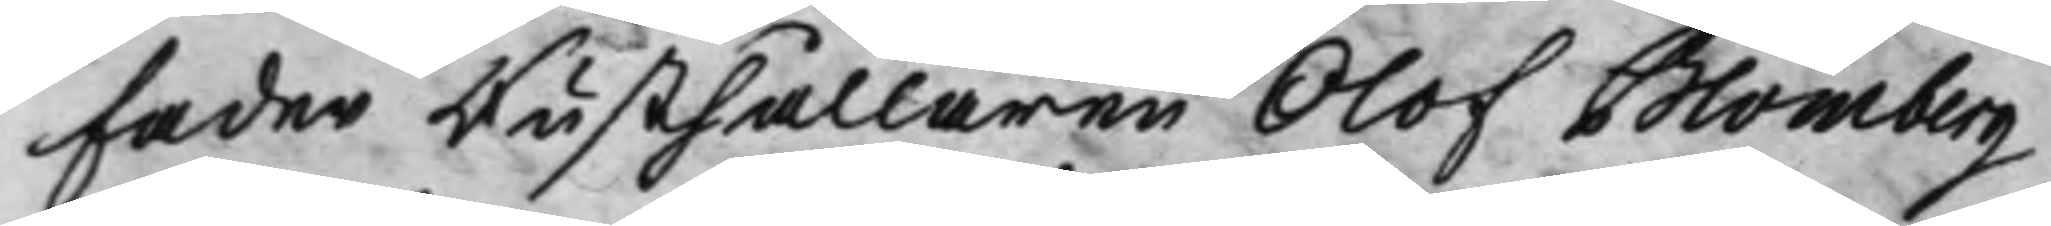Fader Rusthållaren Olof Blomberg
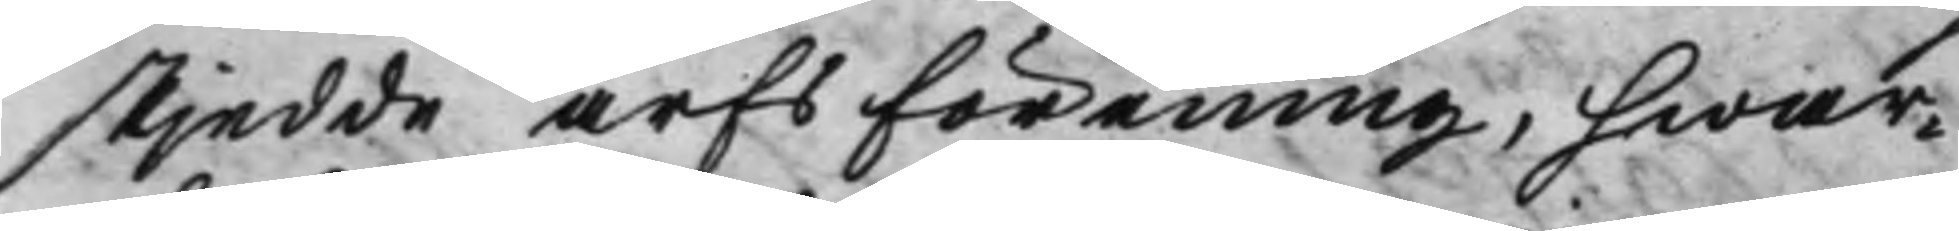skjedde arfsförening, hwar¬
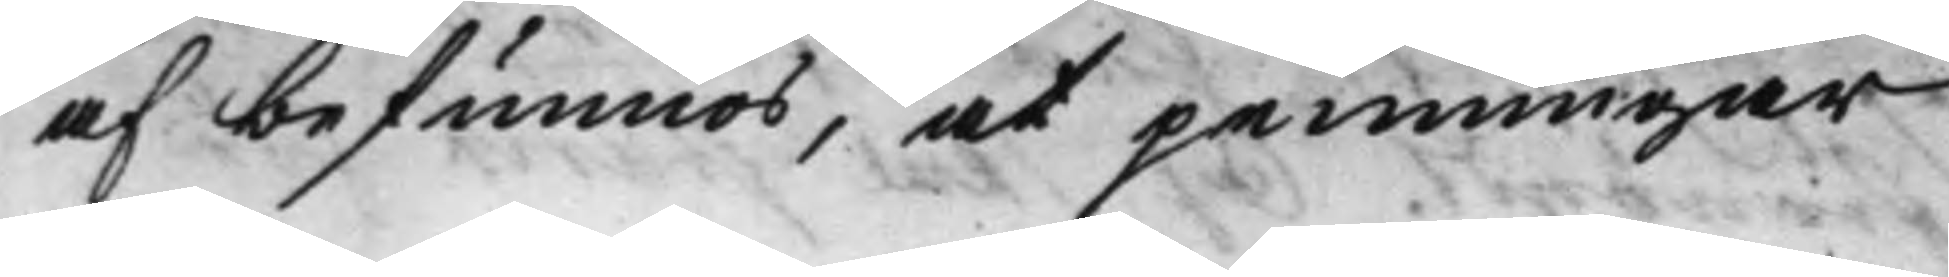af befunnos, at penningar
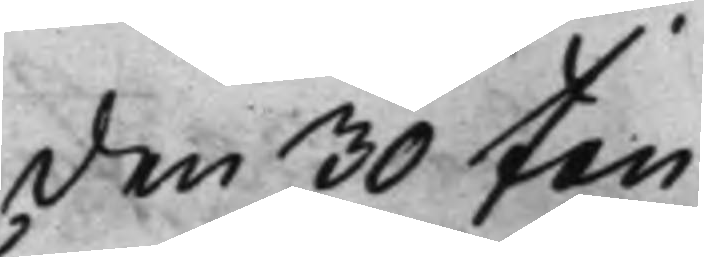den 30 Jan. 
